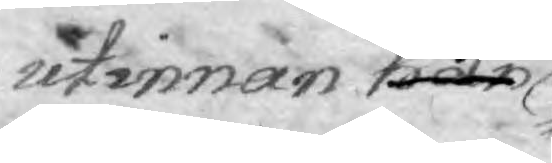utinnan han
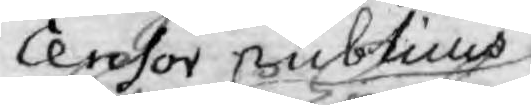Censor publicus
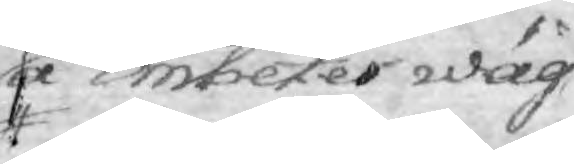å Embetes wäg¬
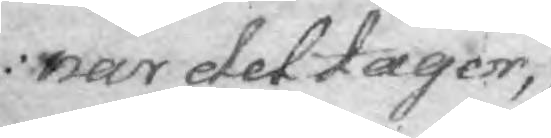nar det tager,
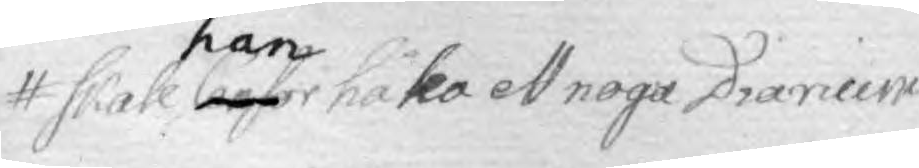skall Censor han hålla ett noga Diarium
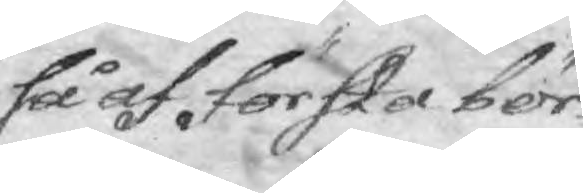så af första bör¬
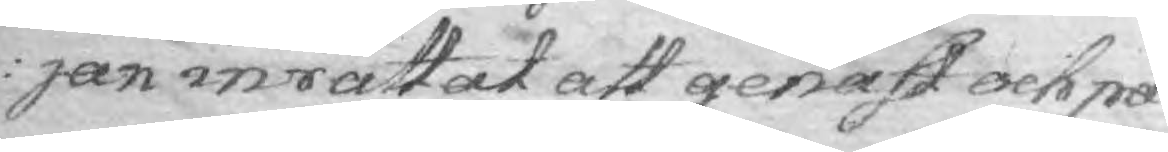jan inrättat att genast och på
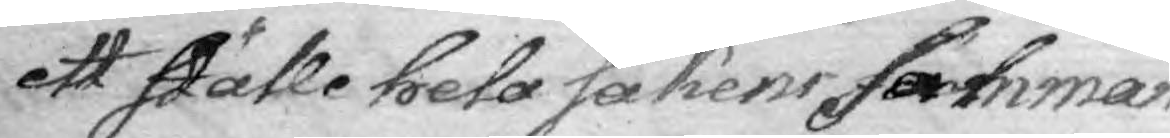ett ställe hela sakens samman
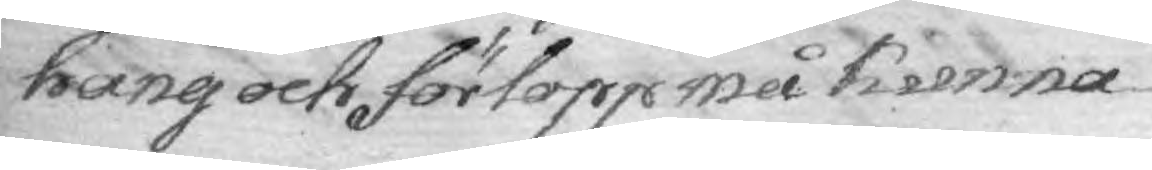hang och förlopp må kunna
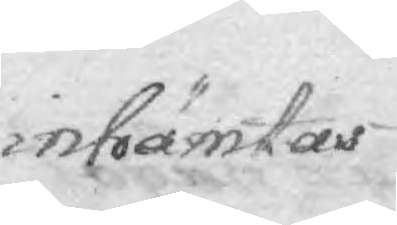inhämtas.
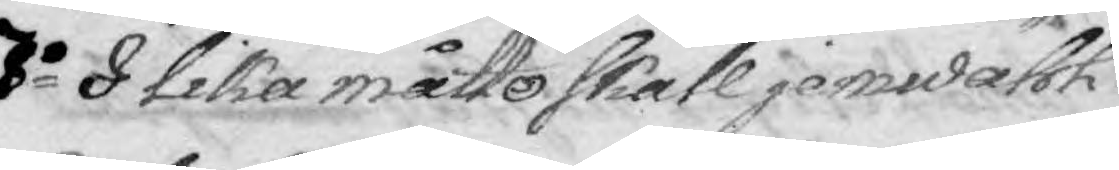7:o I lika måtto skall jemwähl
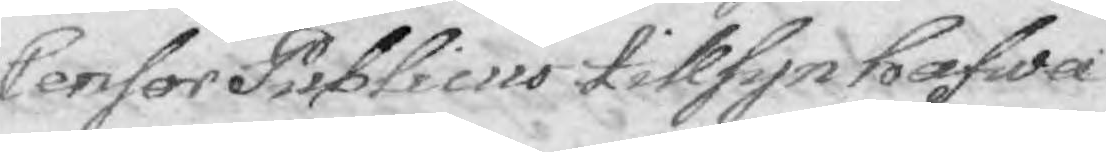Censor Publicus tillsyn hafwa
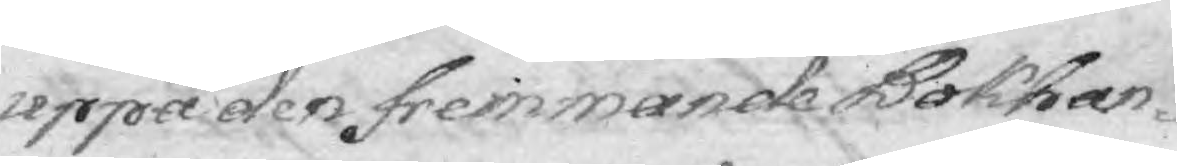uppå den fremmande Bokhan¬
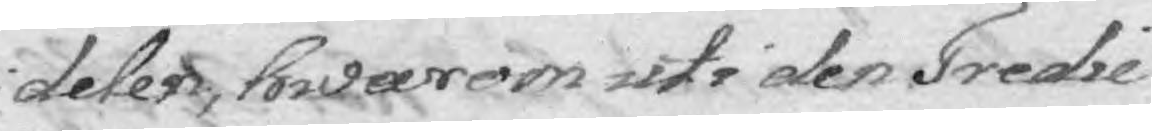delen, hwarom uti den Fredie
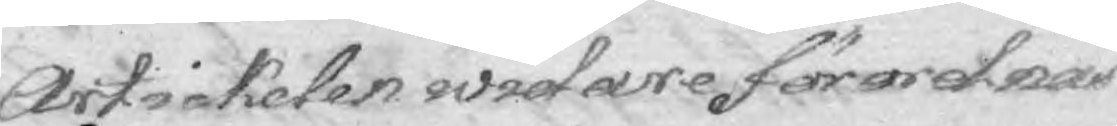Artickelen widare förordnar.
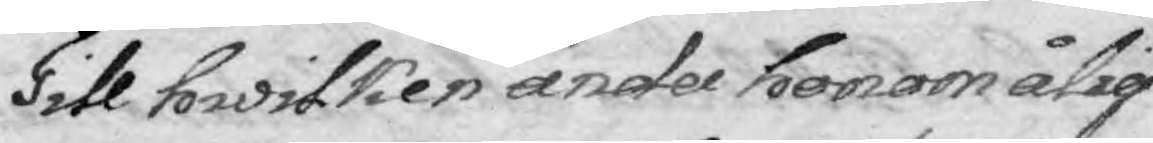Till hwilken ända honoon ålig¬
